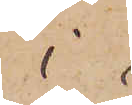i
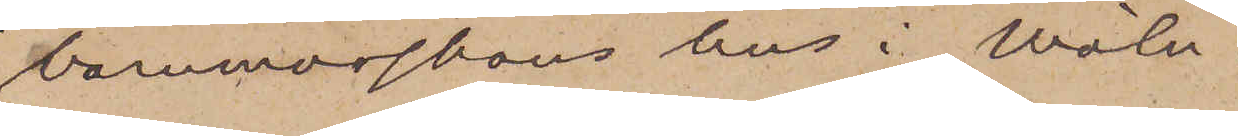barnmorskans hus i Möln¬
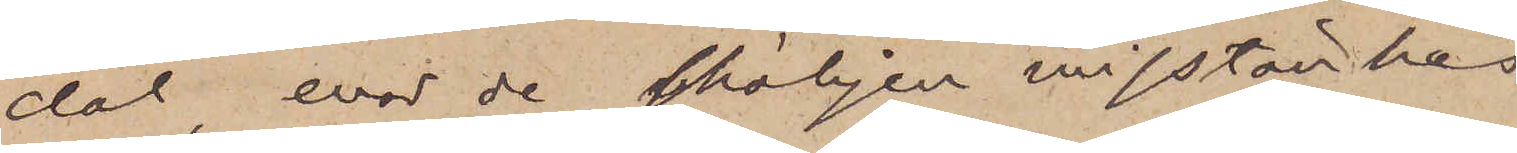dal, evad de skäligen misstänkes
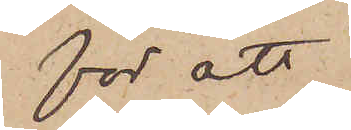för att
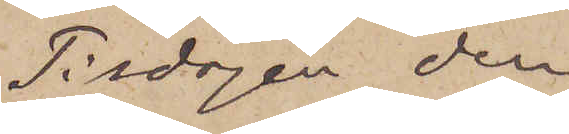Tisdagen den
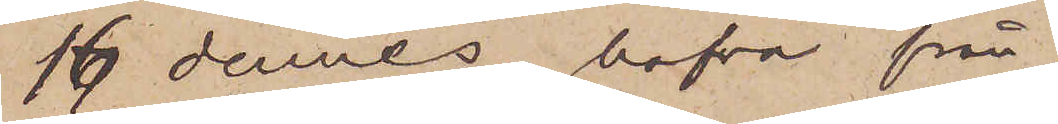16 dennes hafva från
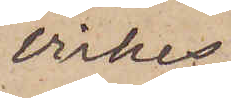Virkes¬
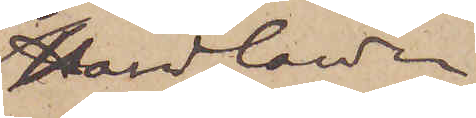handlanden
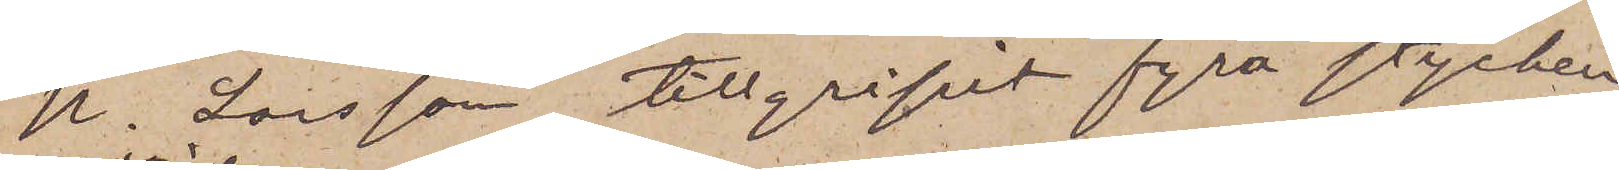K. Larsson tillgripit fyra stycken
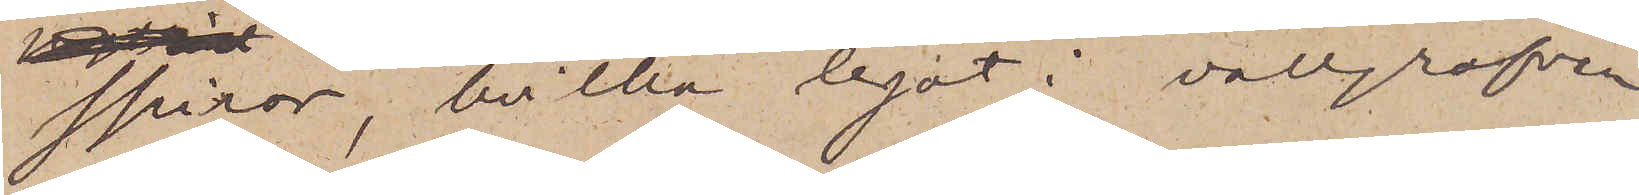Spiror, hvilka legat i vallgrafven
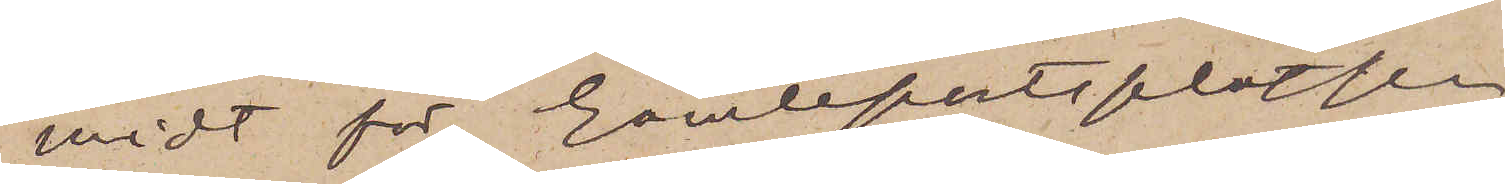midt för Gamleportsplatsen
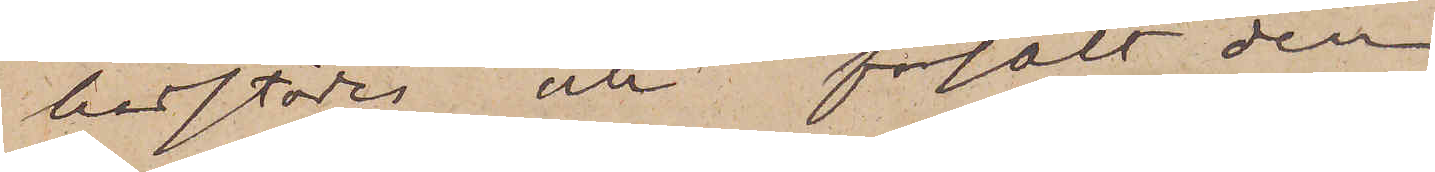härstädes och försålt dem
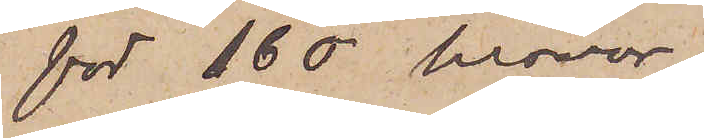för 160 kronor
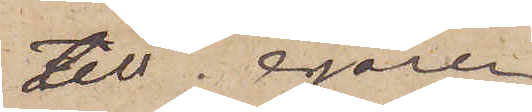till egaren
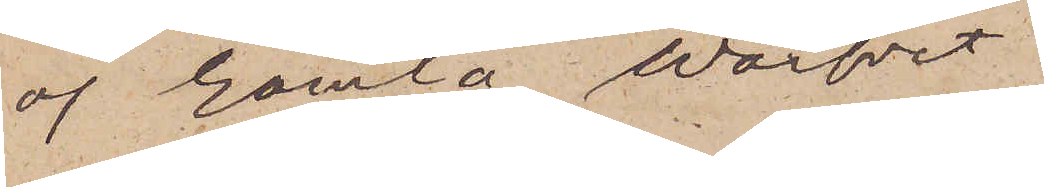af Gamla Warfvet
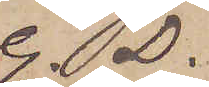G. D.
